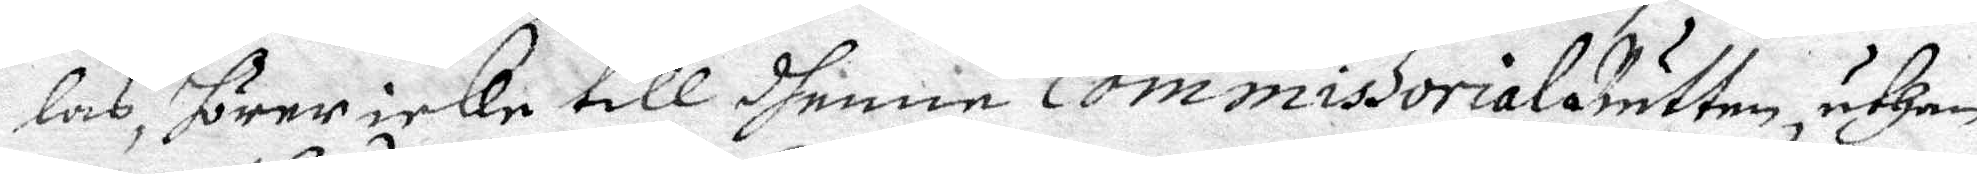las, hörar icKe till dhenna CommissorialRätten, uthan
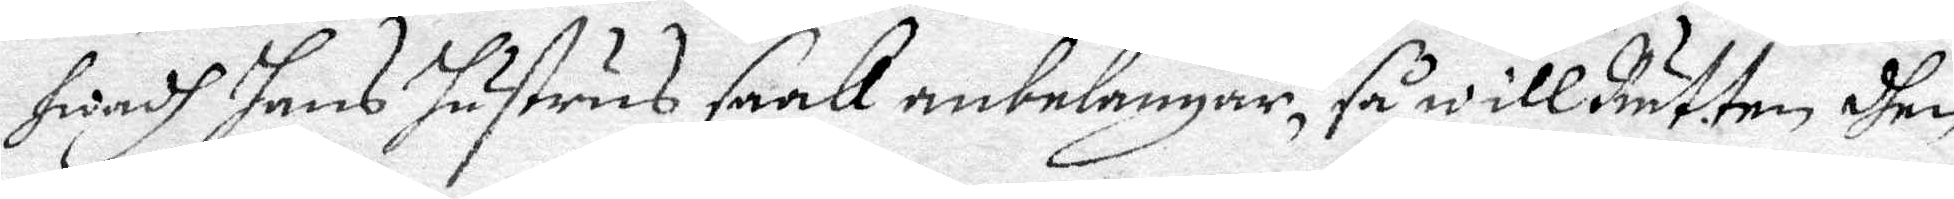hwadh hans hustrus saak anbelangar, så will Rätten dhen
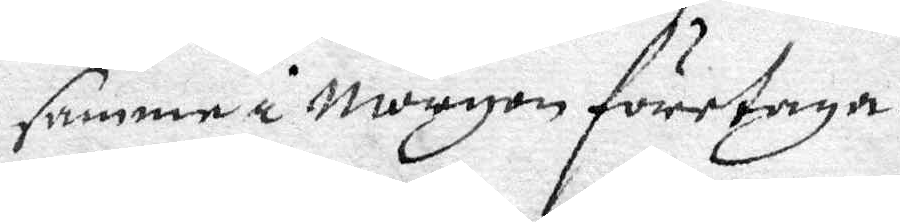samma Morgon företaga.
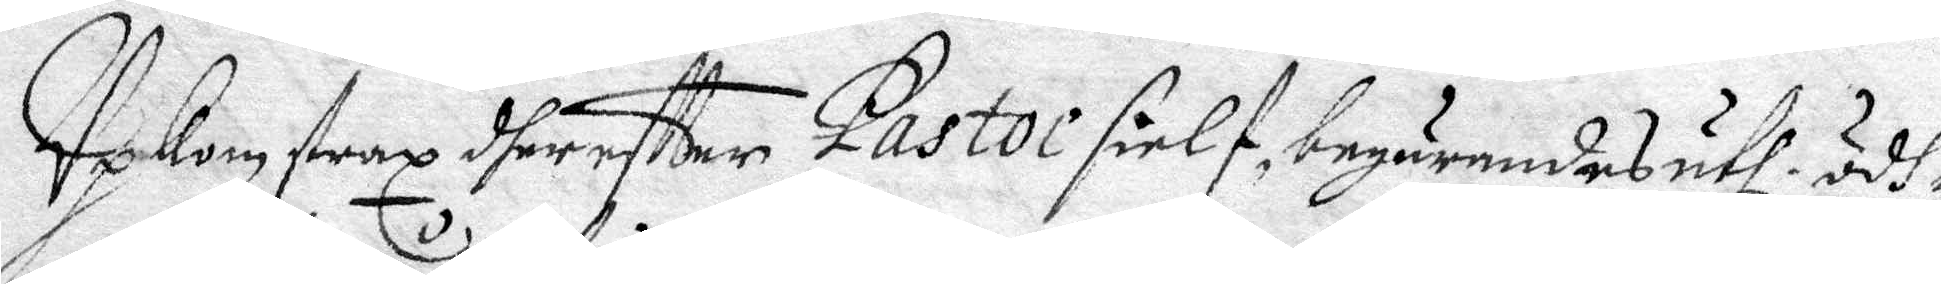Upkom strax dher effter Pastor sielf, begärandes uthi ödh¬
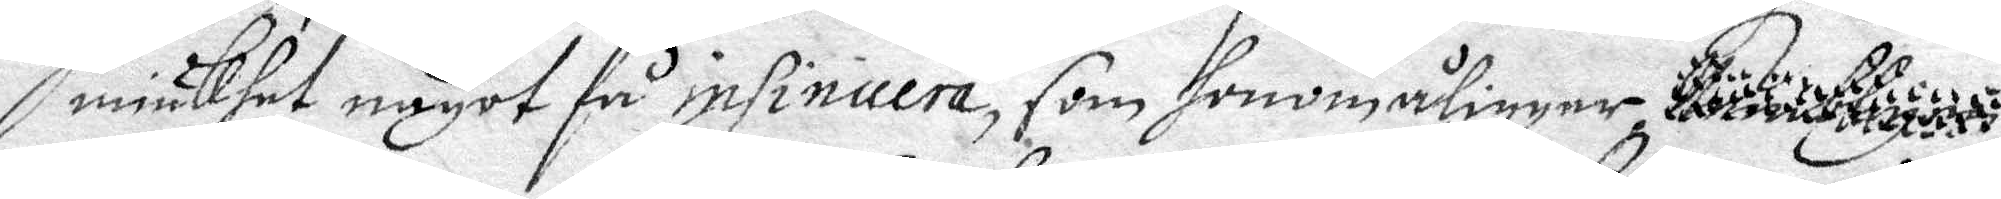miukhet något få insinuera, som honom åligger .........
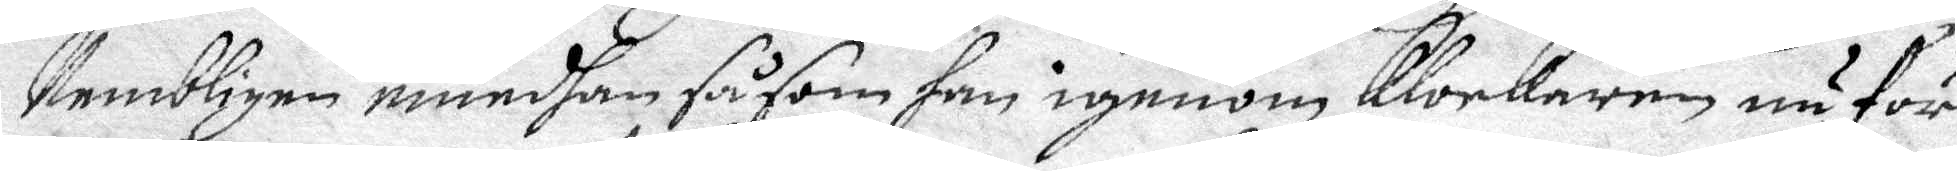Nembligen emedhan såsom han igenom Klockaren nu för
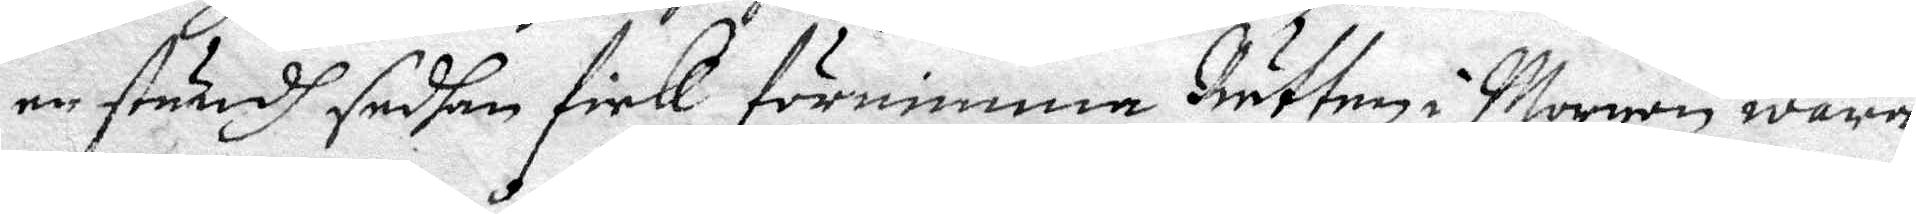en stundh sedhan fick förnimma Rätten i Morgon wara
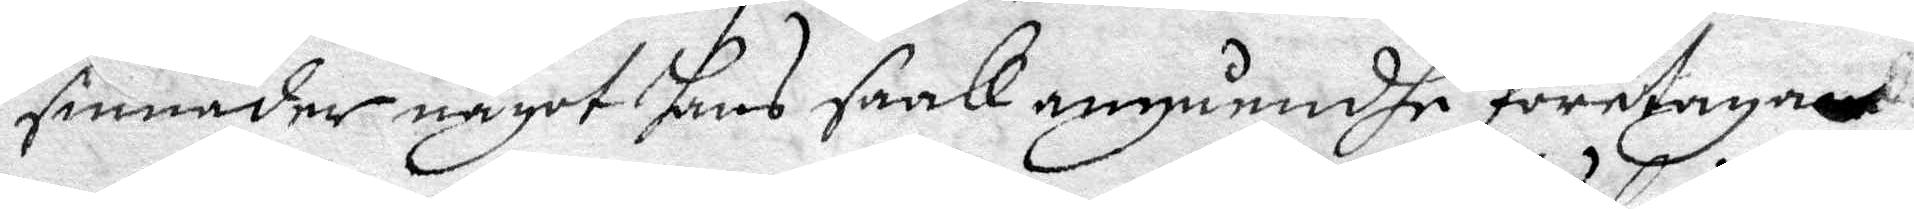sinnader något hans saak angåendhe företaga
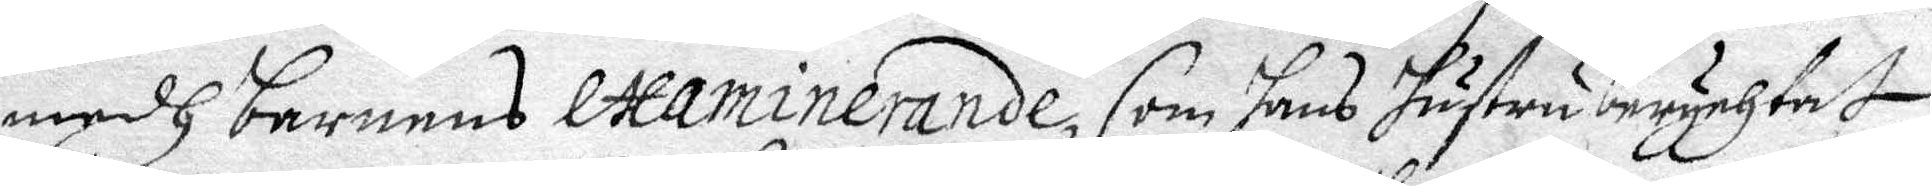medh barnens Examinerande, som hans hustru berychtat
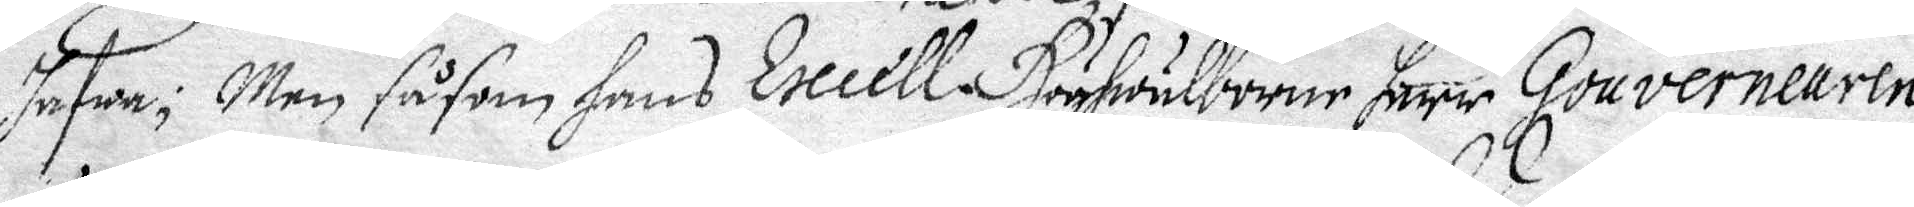hafwa; Men såsom hans Execll. Höghwälborne Herr Gouverneuren
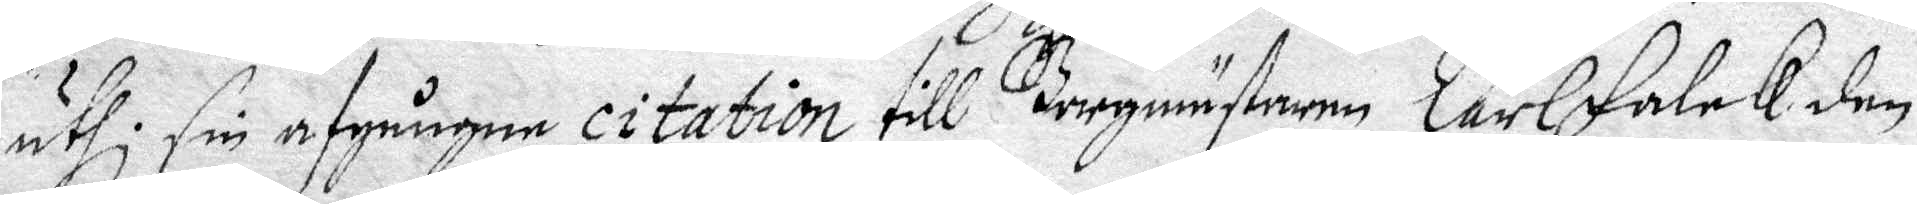uthi sin afgångna citation till Borgmästaren Carl Falck den
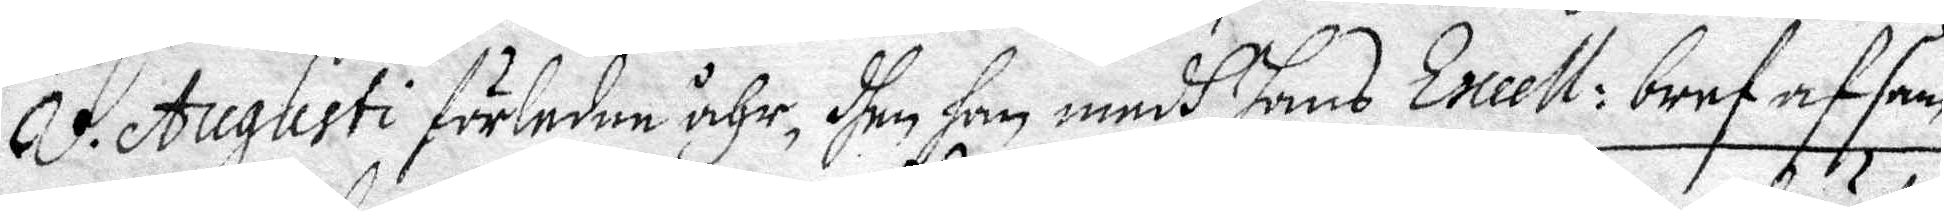8. Augusti förledne åhr, dhen han medh hans Excell: bref af sam¬
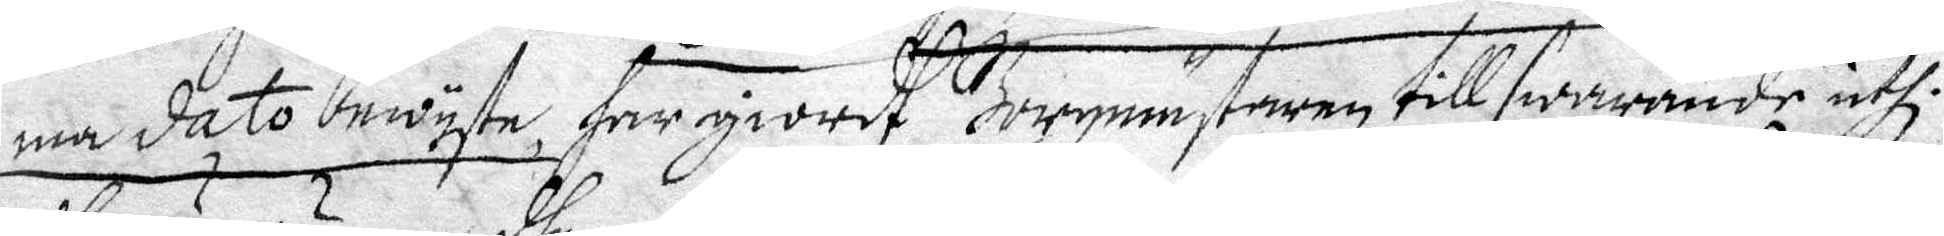ma dato bewyste, har giordt Borgmästaren till swarande uthi
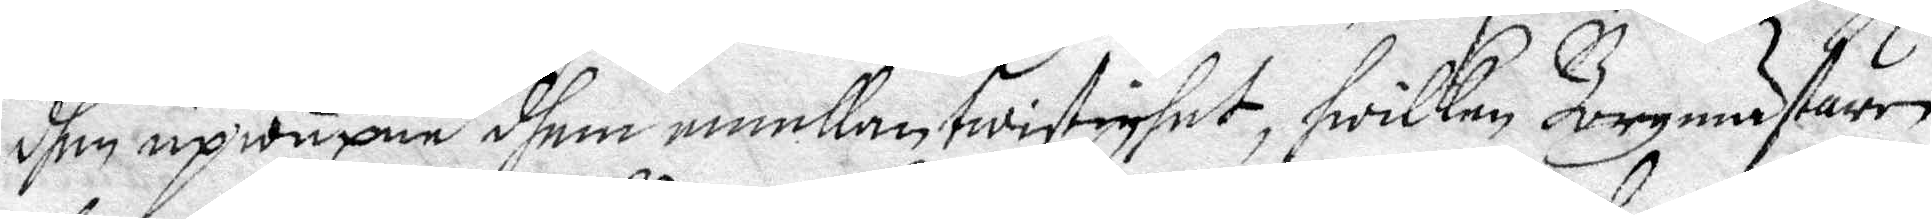dhen upwuxna dhem emellan twistighet, hwilken Borgmästaren
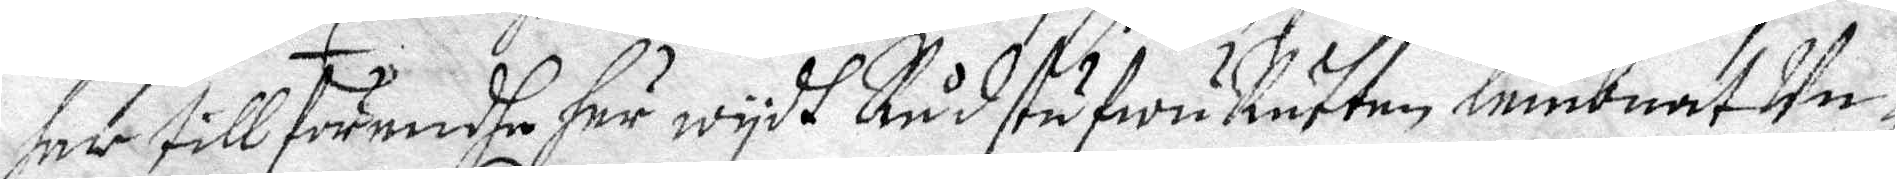har till förendhe här wydh RådstufwuRätten lembnat Un¬
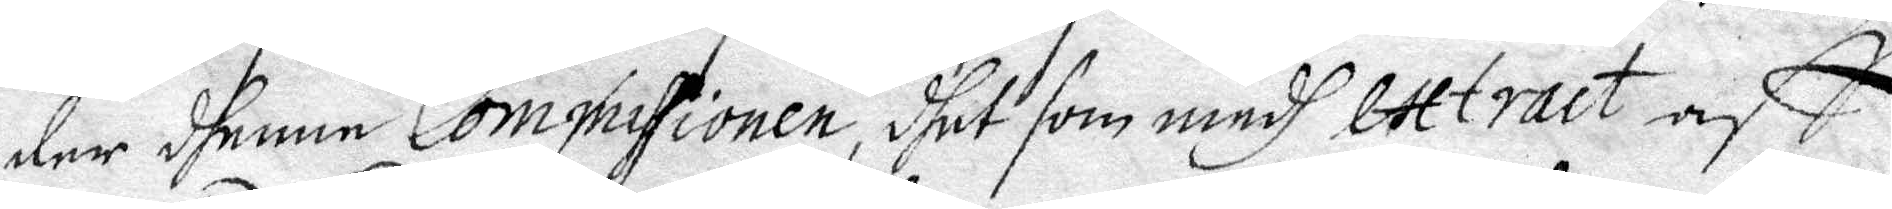der dhenne Commissionen, dhet som medh exract aff
